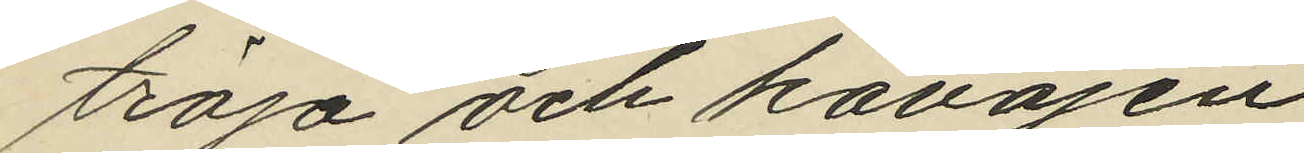tröja och kavajen;
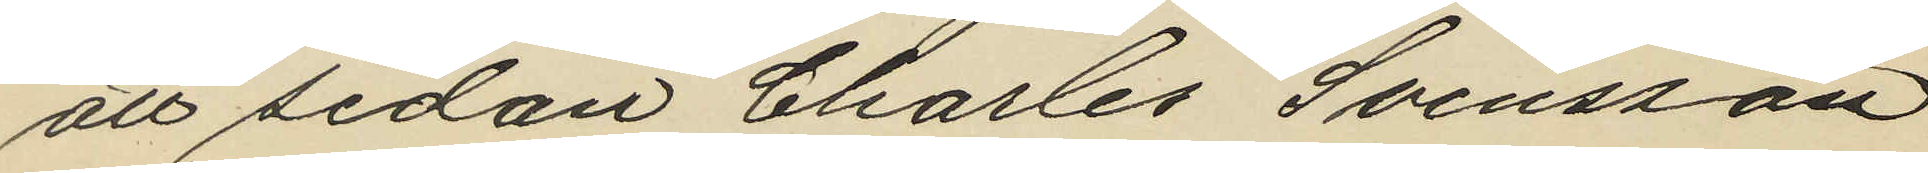att sedan Charles Svensson
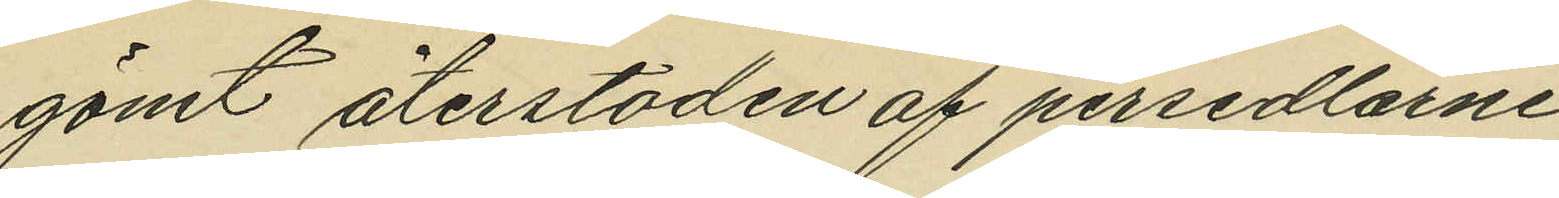gömt återstoden af persedlarne
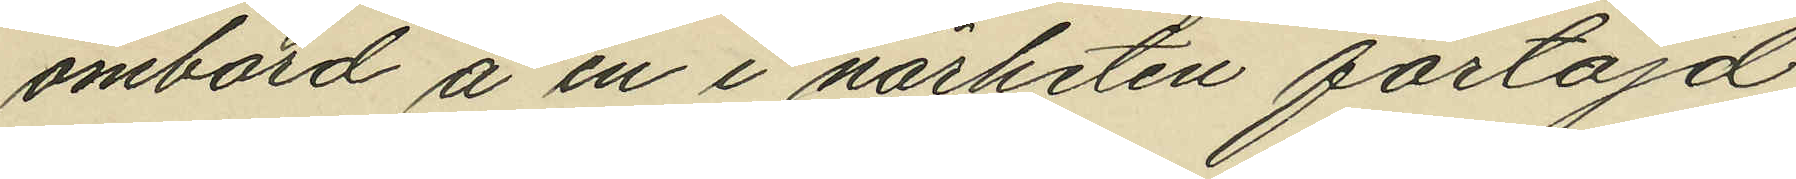ombord å en i närheten förtöjd
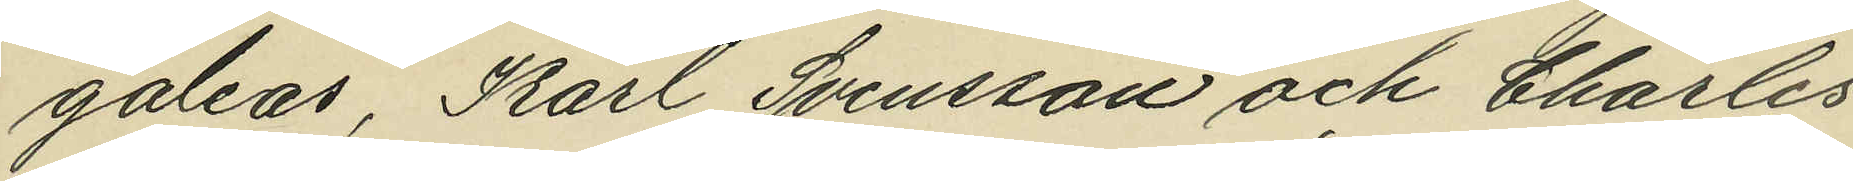galeas, Karl Svensson och Charles
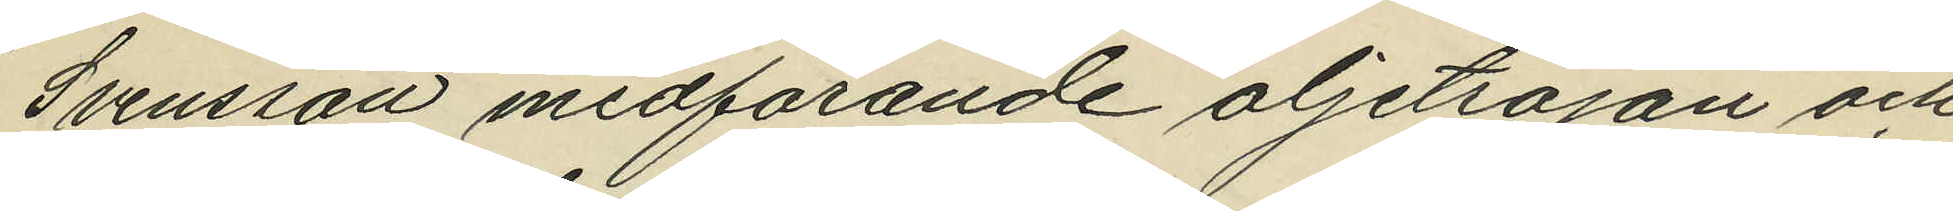Svensson medförande oljetröjan och
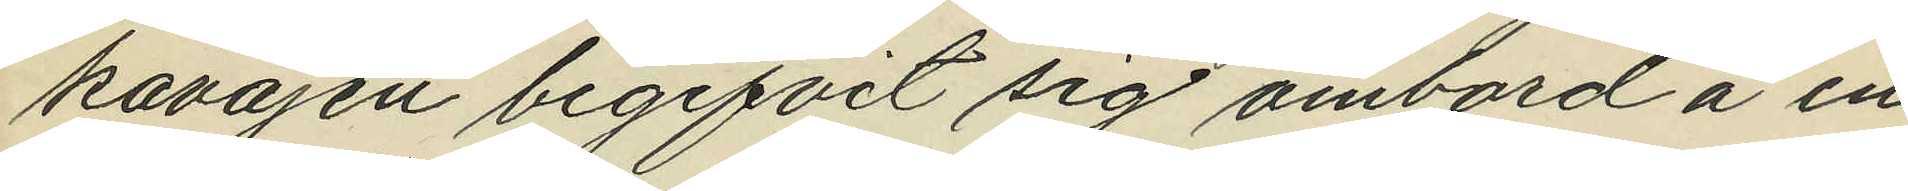kavajen begifvit sig ombord å en
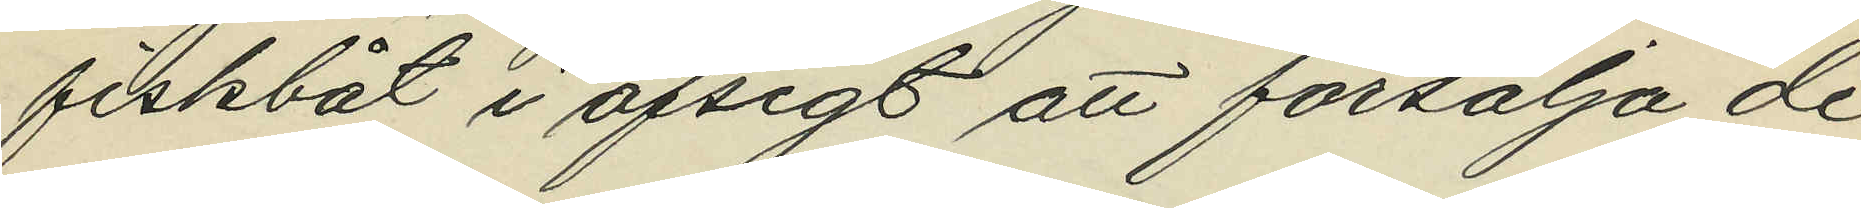fiskbåt i afsigt att försälja de
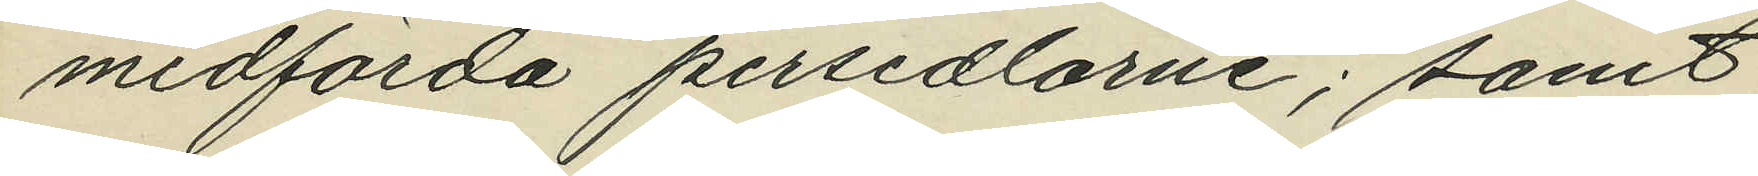medförda persedlarne; samt
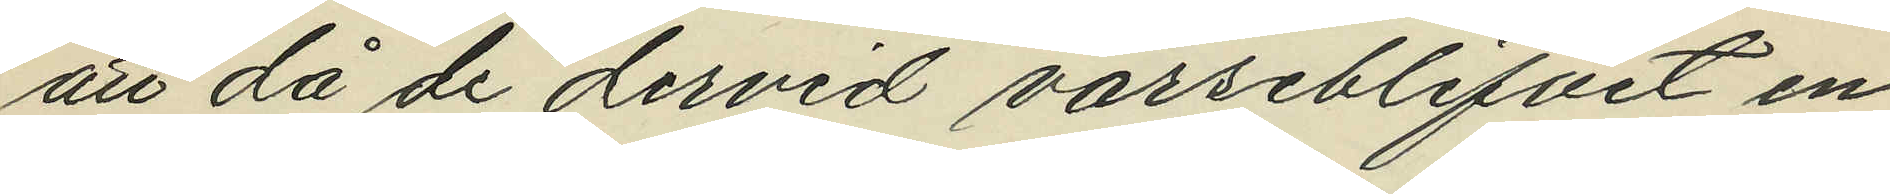att då de dervid varseblifvit en
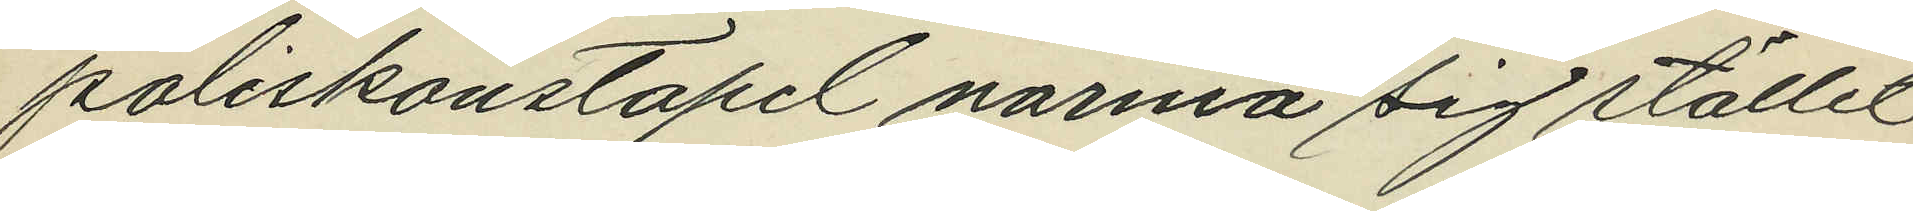poliskonstapel närma sig stället
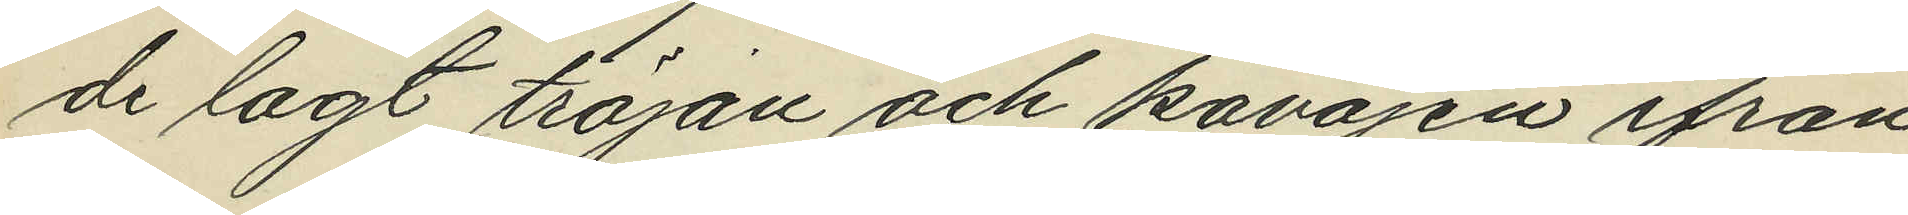de lagt tröjan och kavajen ifrån
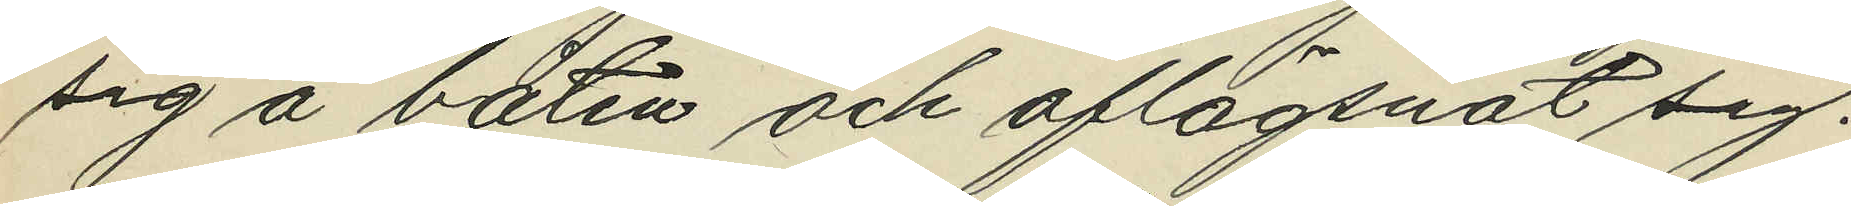sig å båten och aflägsnat sig.
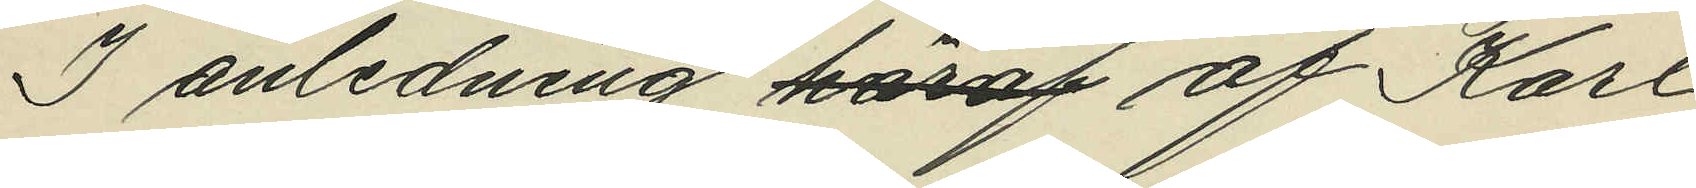I anledning häraf af Karl
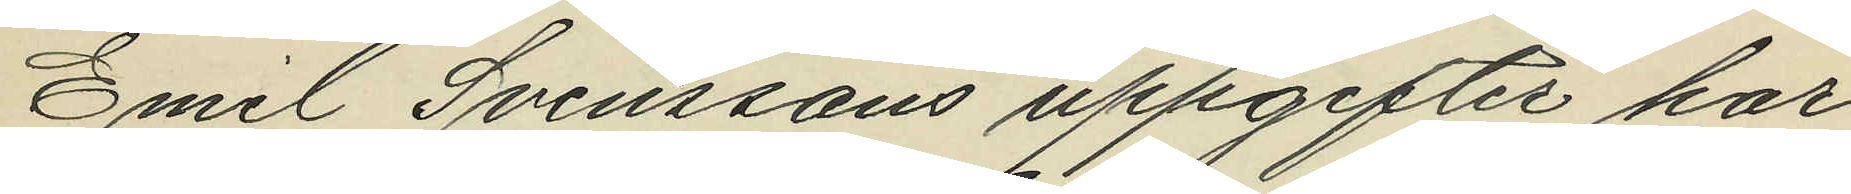Emil Svenssons uppgifter har
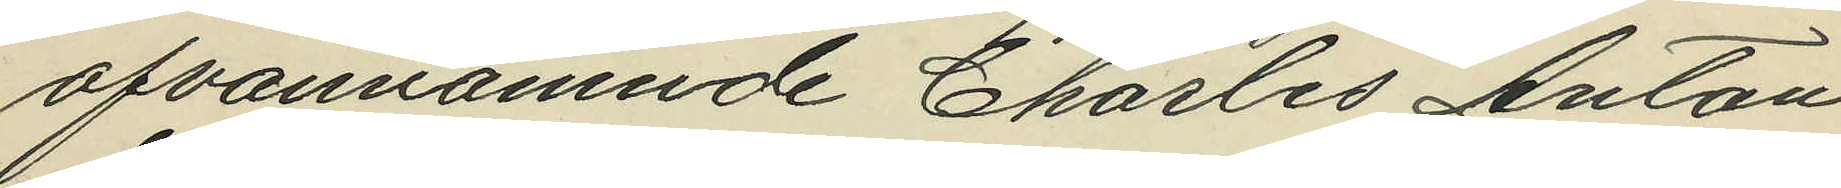ofvannämnde Charles Anton
